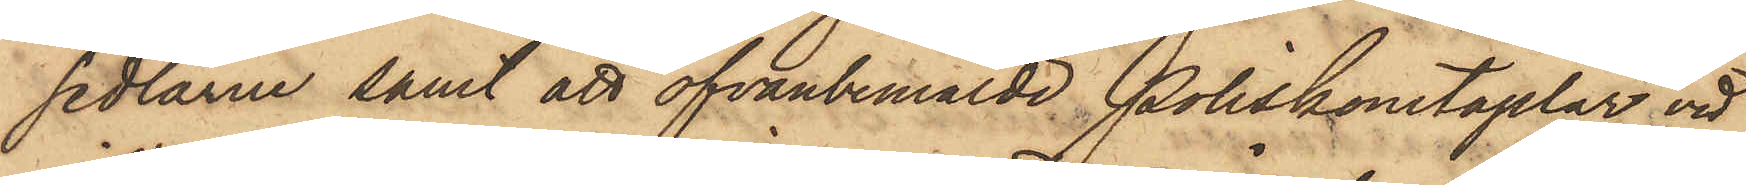sedlarne samt att ofvanbemälde Poliskonstaplar vid
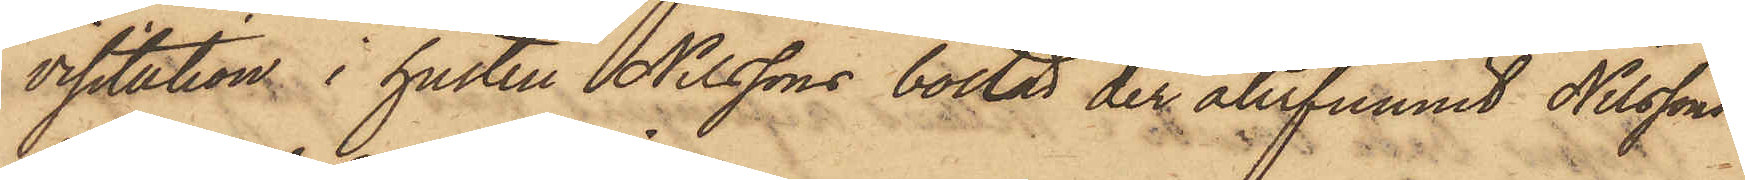visitation i hustru Nilssons bostad der återfunnit Nilssons
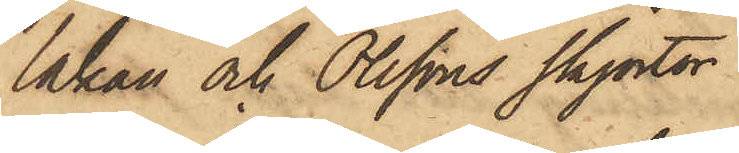lakan och Olssons skjortor.
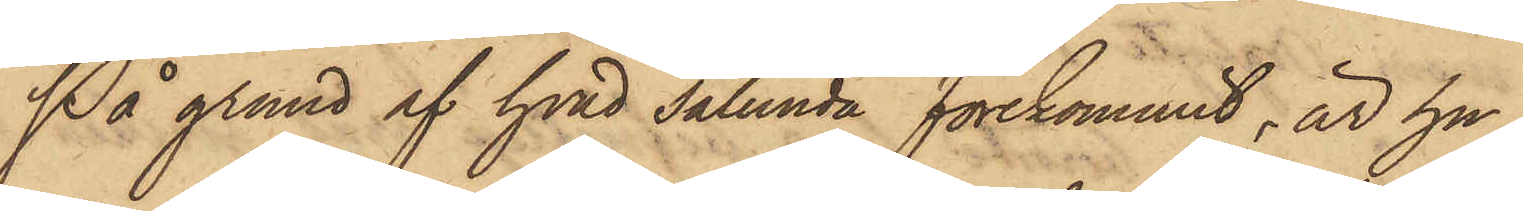På grund af hvad sålunda förekommit, är hu¬
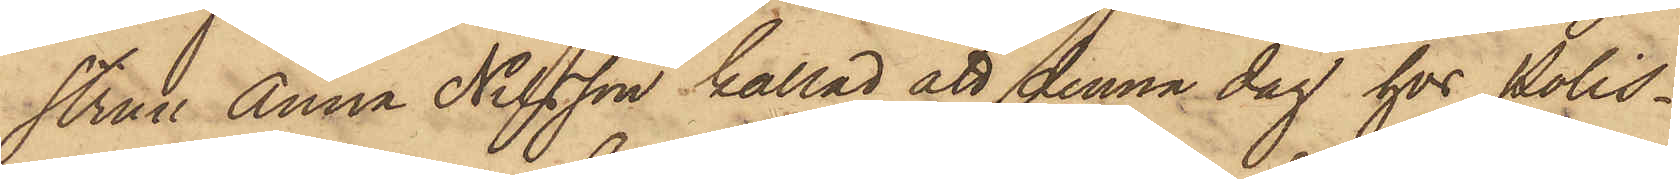strun Anna Nilsson kallad att denna dag hos Polis¬
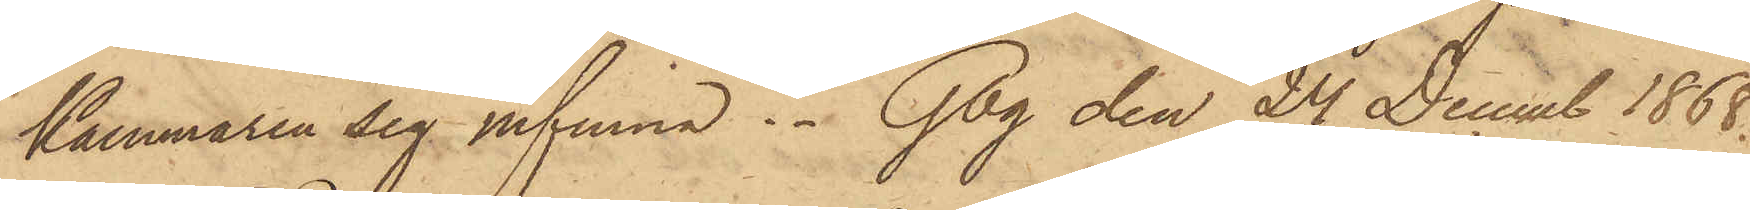Kammaren sig infinna. Gbg den 24 Decemb 1868.
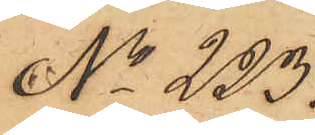No 223.
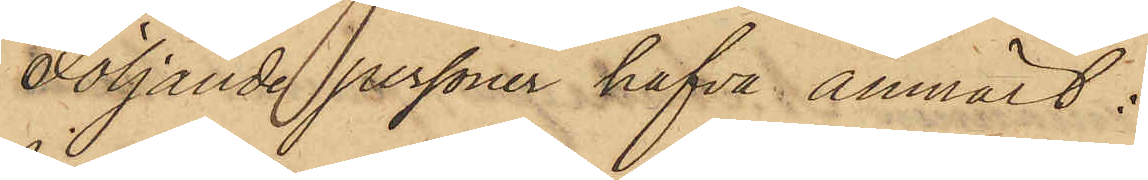Följande personer hafva anmält:
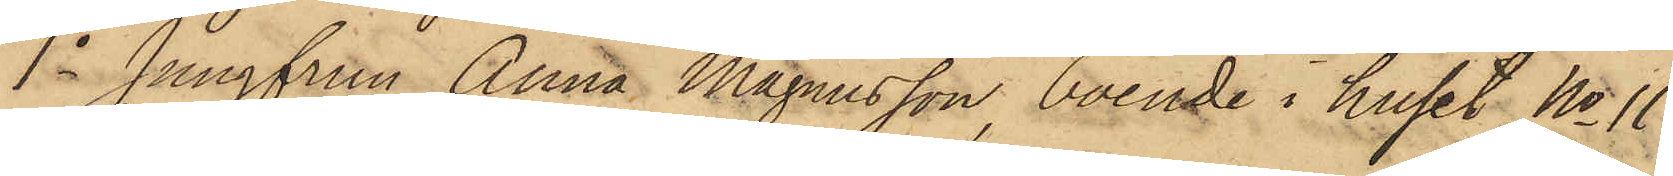1o Jungfrun Anna Magnusson, boende i huset No 11
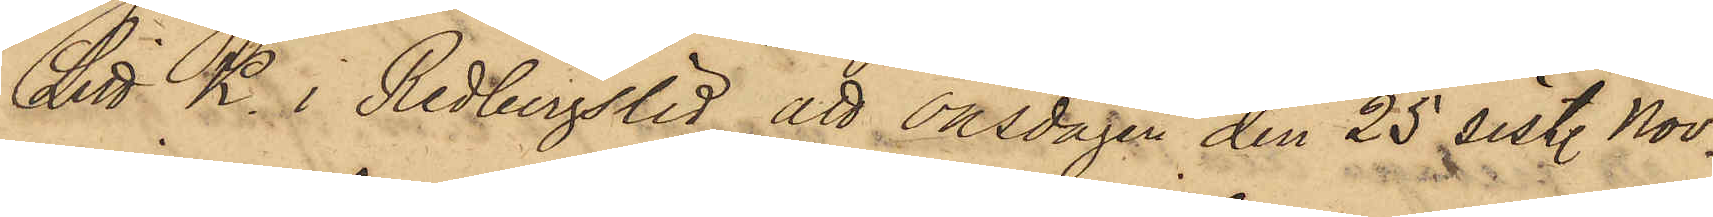Litt K. i Redbergslid, att onsdagen den 25 sistl. Nov.
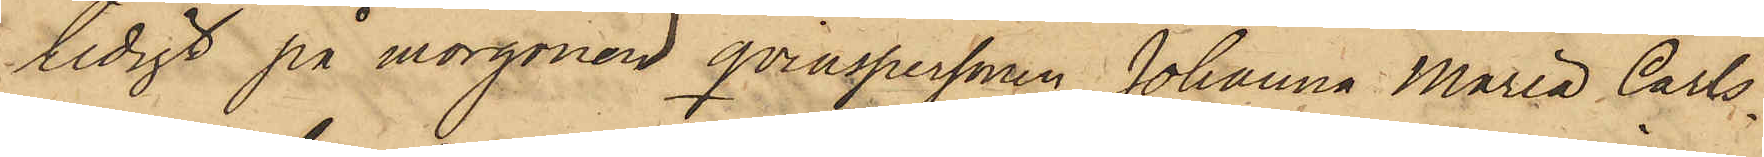tidigt på morgonen qvinspersonen Johanna Maria Carls¬
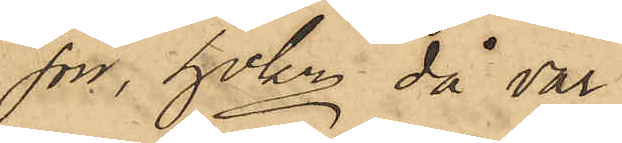son, hvken då var
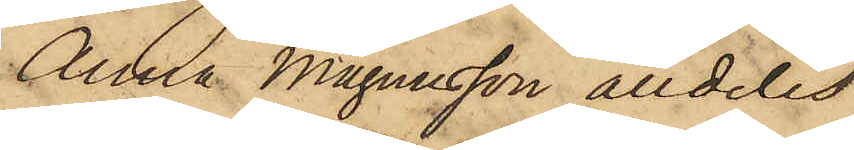Anna Magnusson alldeles
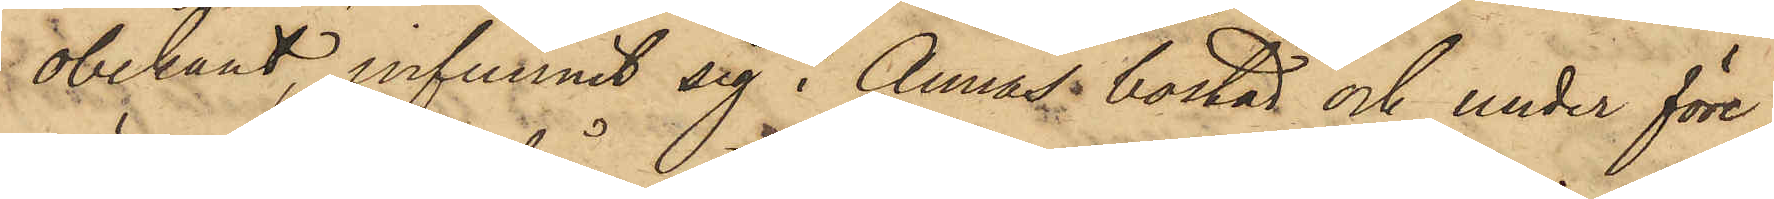obekant, infunnit sig i Annas bostad och under före¬
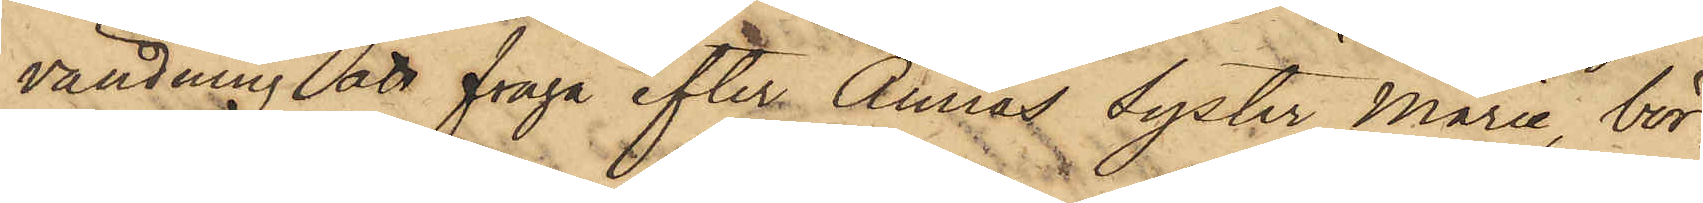vändning att fråga efter Annas syster Marie, bör¬
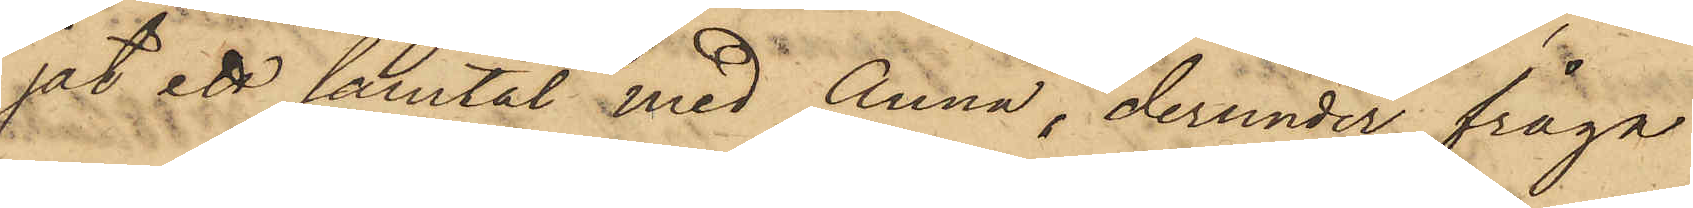gat ett samtal med Anna, derunder fråga
